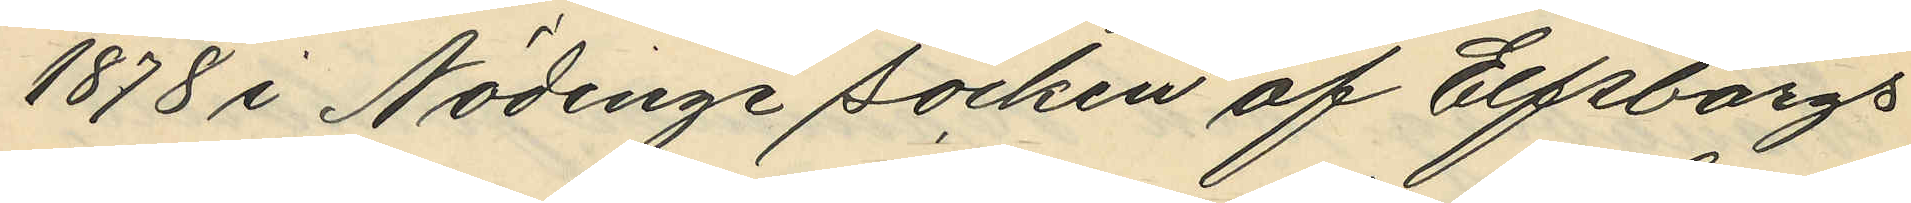1878 i Nödinge Socken af Elfsborgs
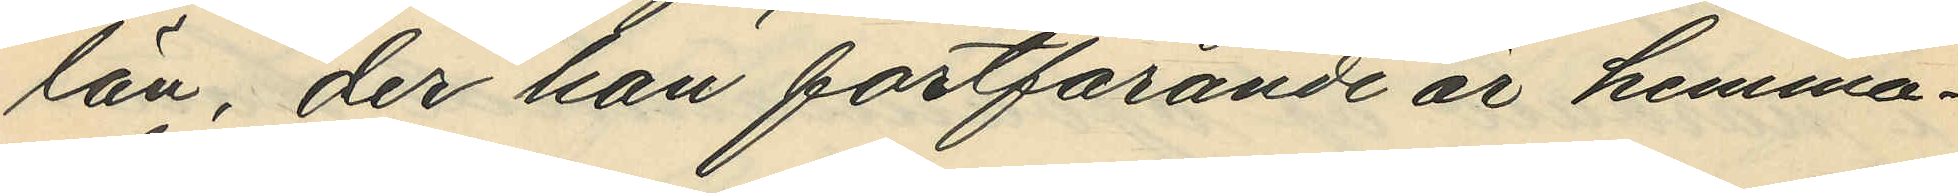län, der han fortfarande är hemma¬
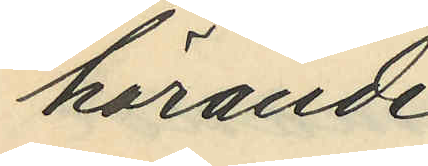hörande.
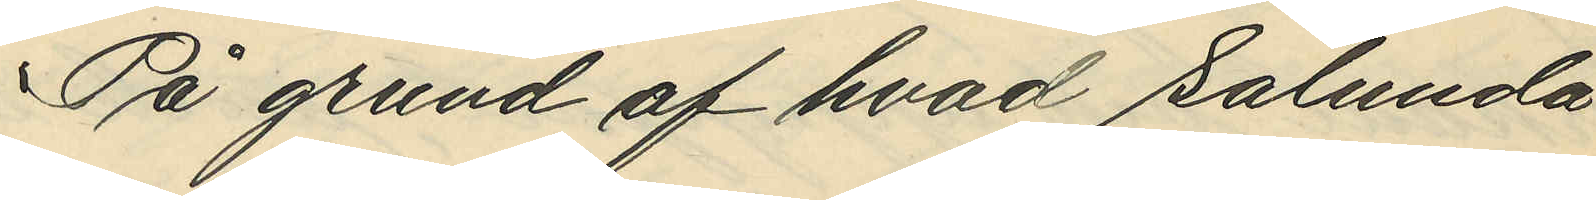På grund af hvad sålunda
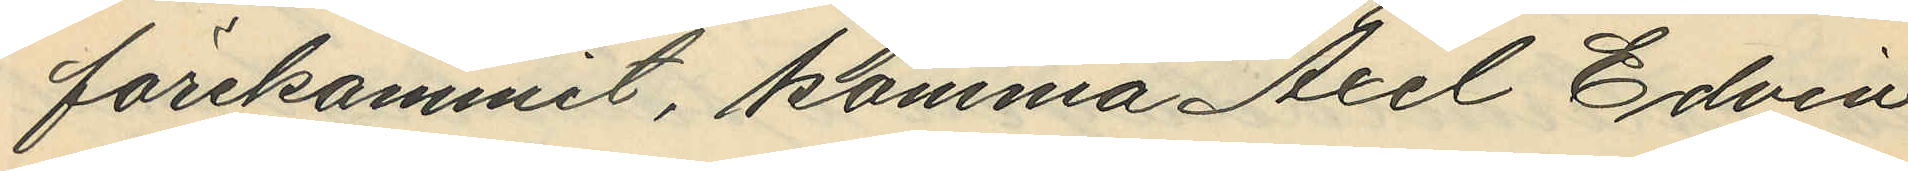förekommit, komma Axel Edvin
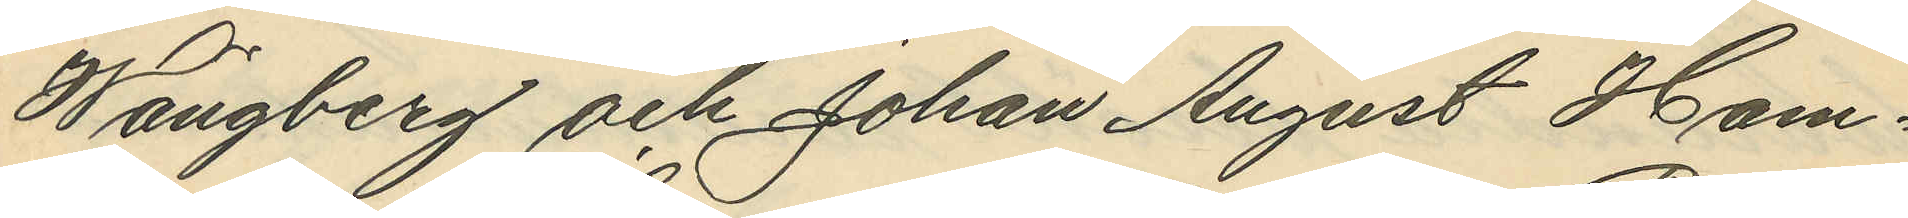Wängberg och Johan August Ham¬
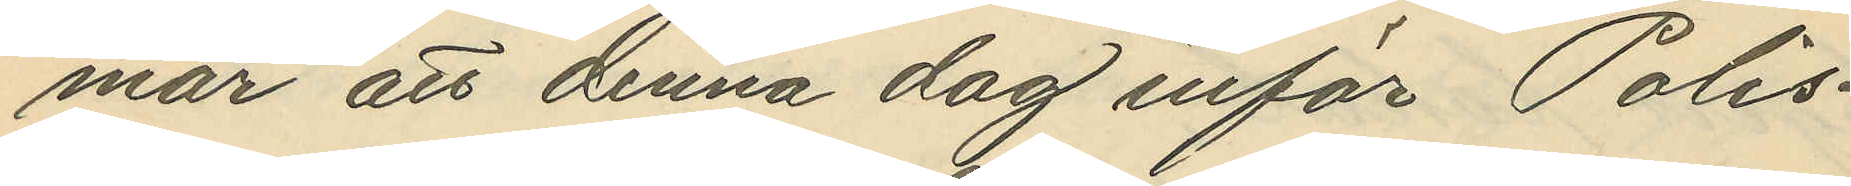mar att denna dag inför Polis¬
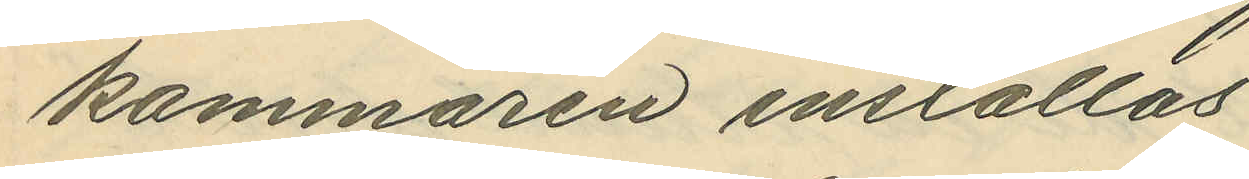kammaren inställas.
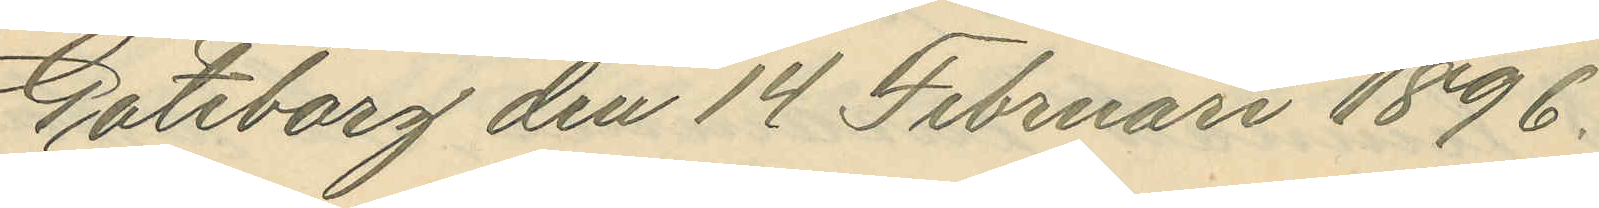Göteborg den 14 Februari 1896.
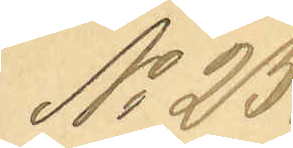No 25.
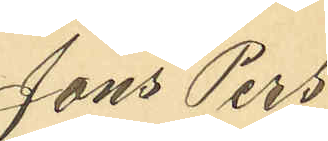Jöns Pers¬
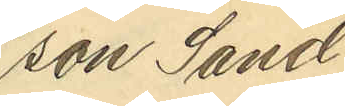son Sand¬
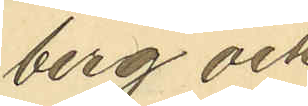berg och
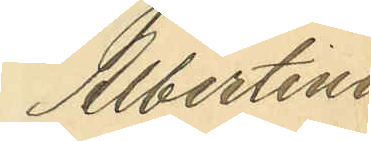Albertina
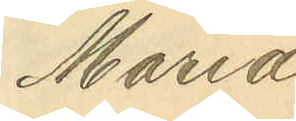Maria
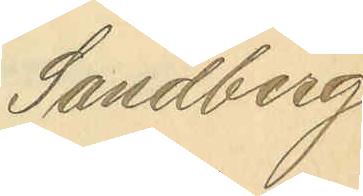Sandberg
